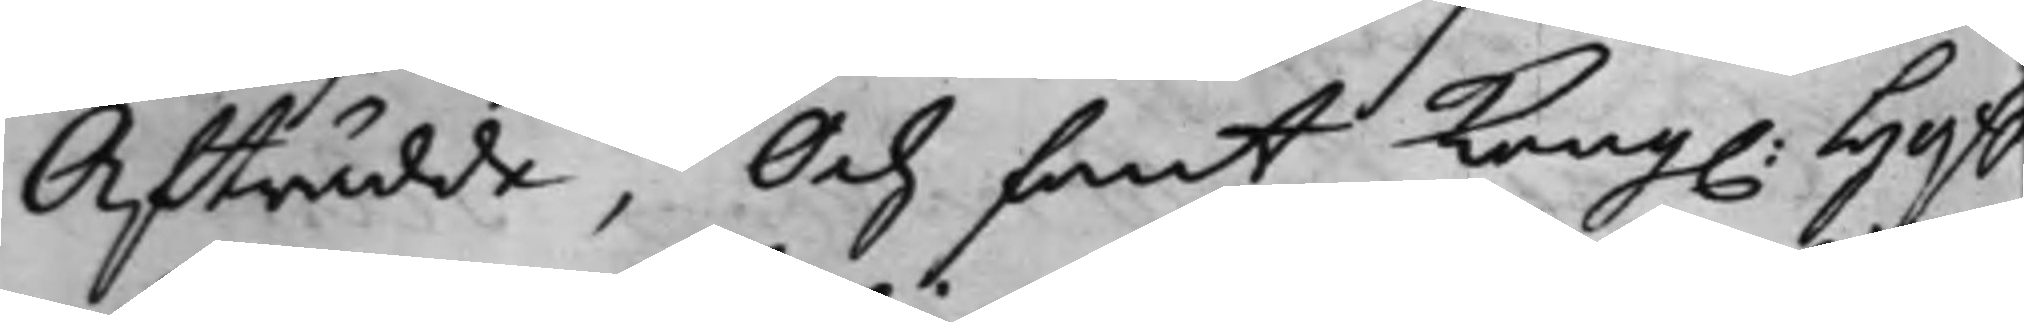Afträdde, Och fant Kong. Hoff¬
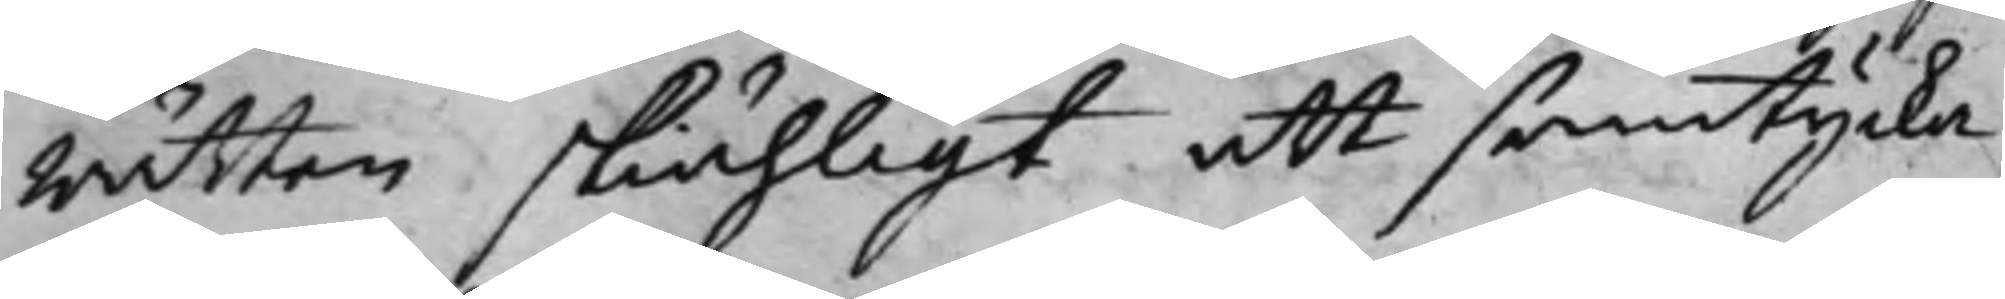Rätten skiähligt att samtycka
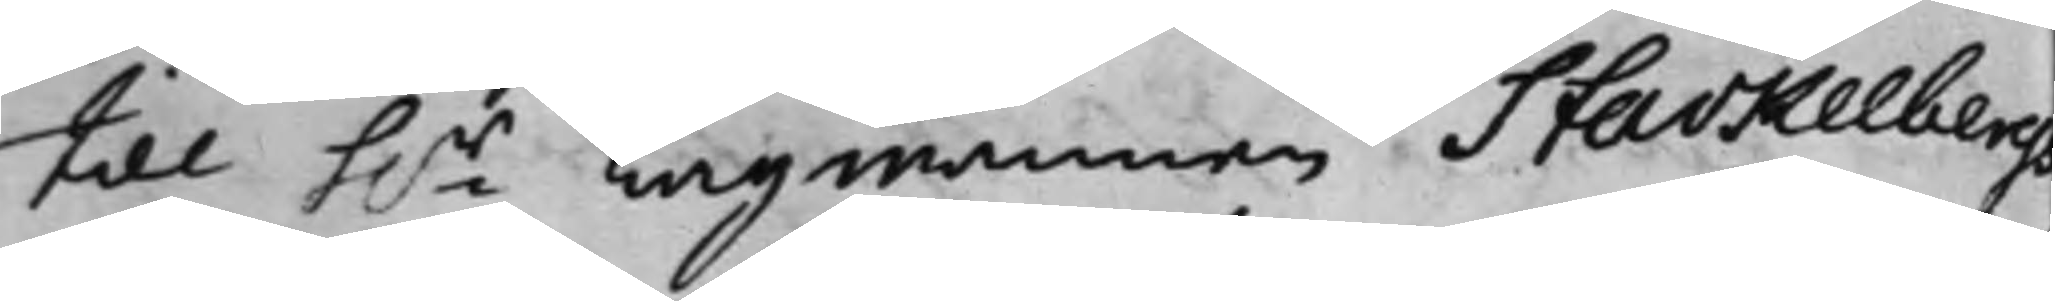till h.r Lagmannen Stackelbergs
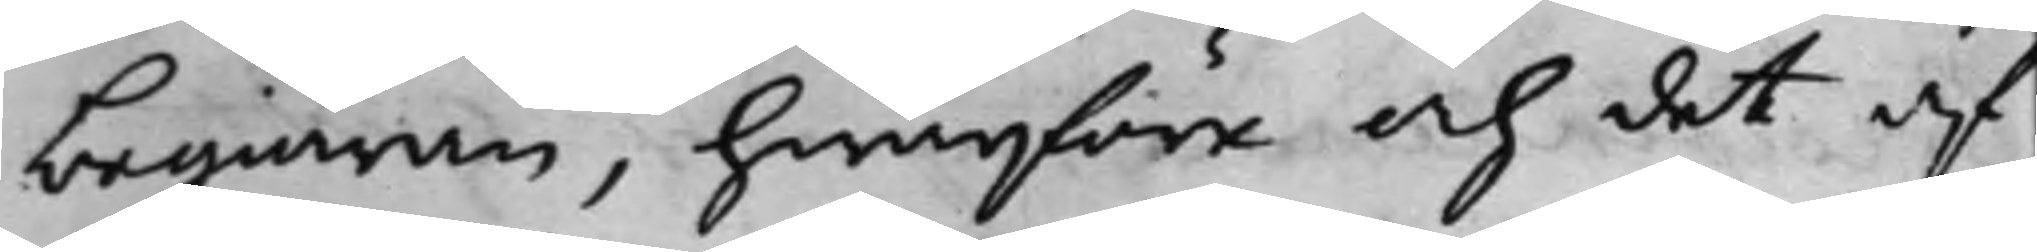begiäran, hwarföre och det af
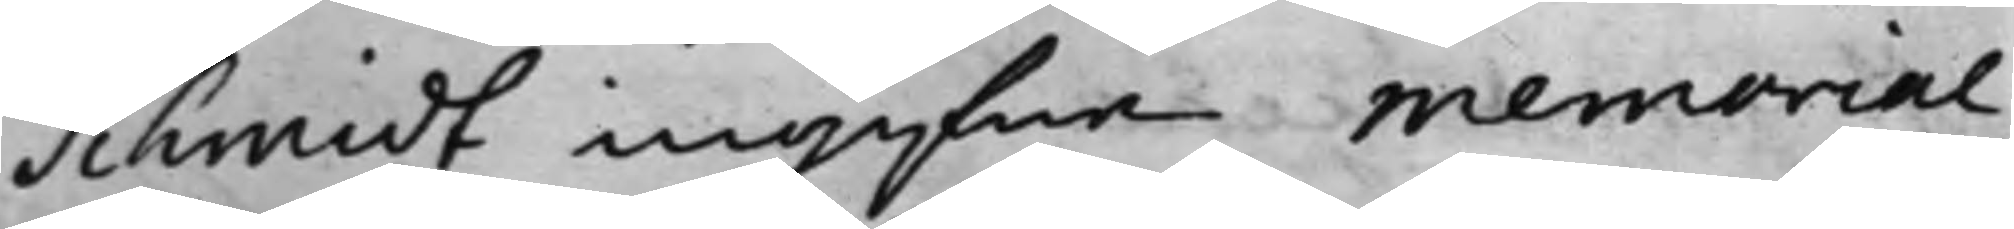Schmidt ingifne Memorial,
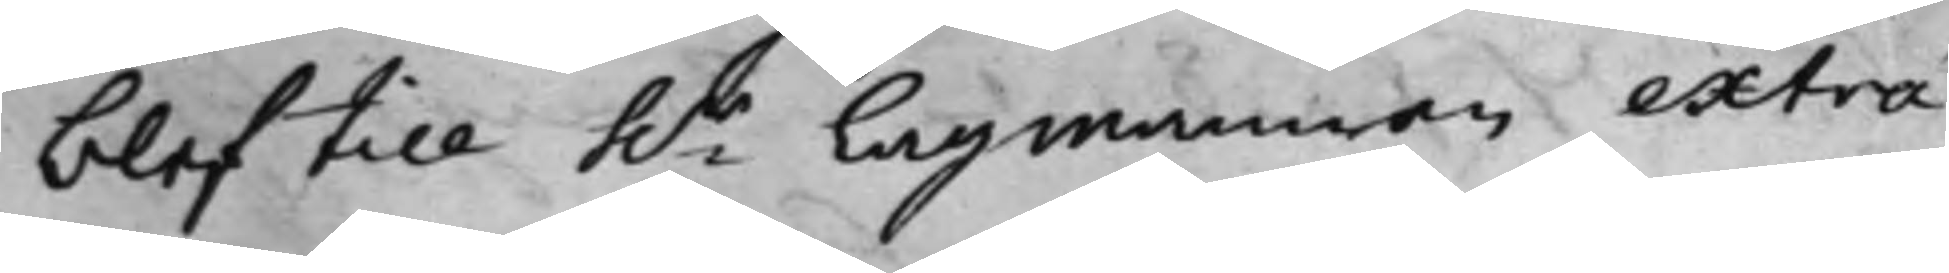blef till h.r Lagmannen extra¬
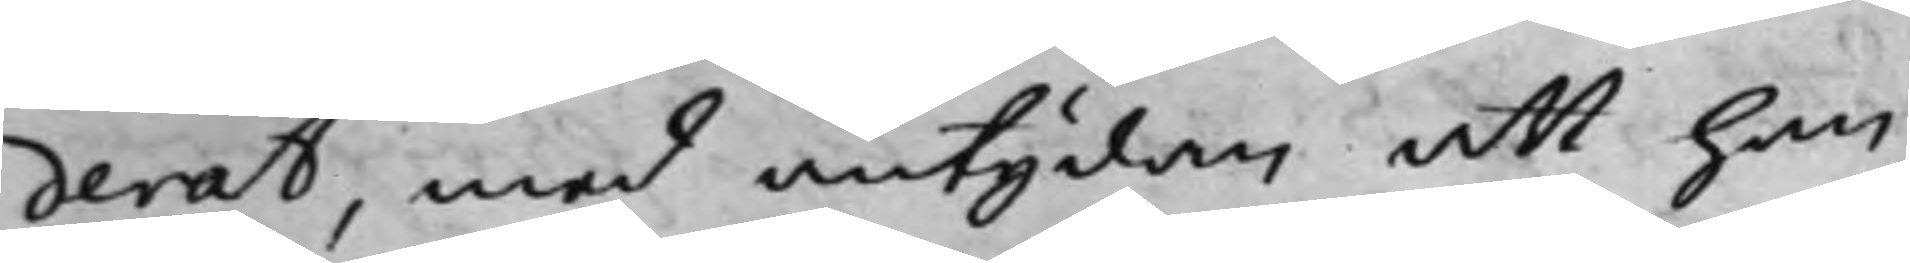derat, med antydan att han,
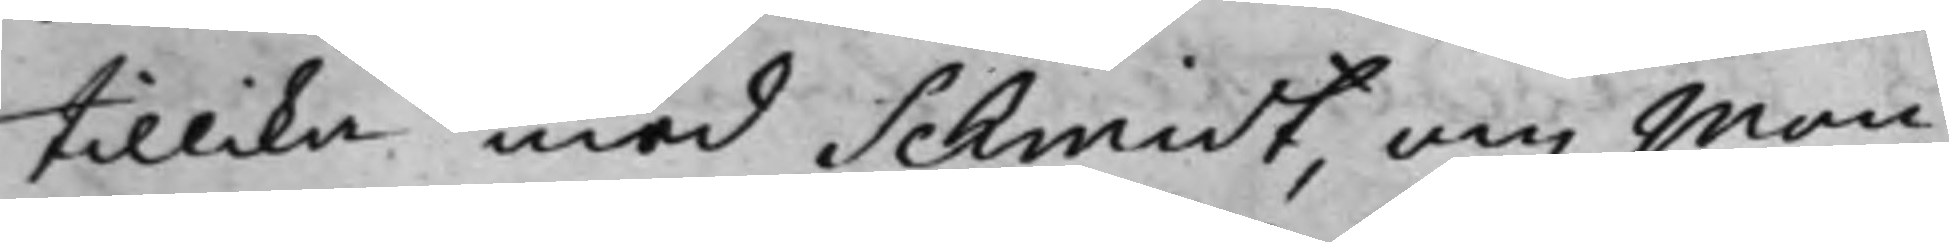tillika med Schmidt, om Mon¬
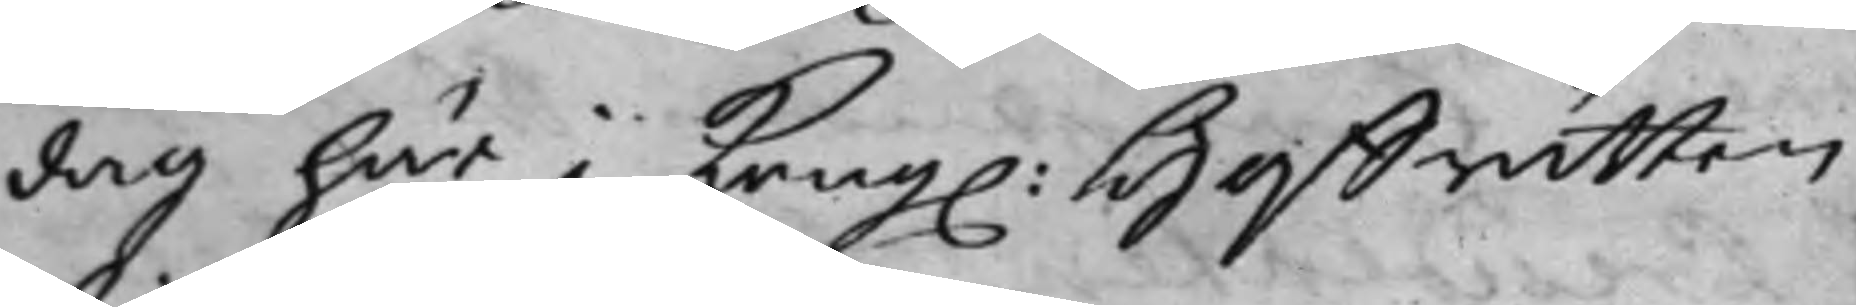dag här i Kong. Hoffrätten
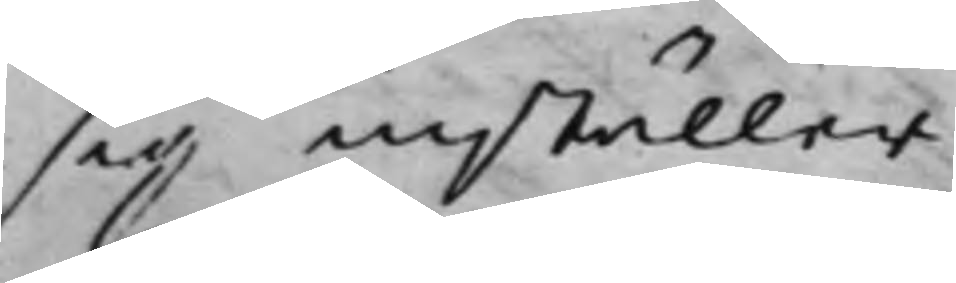sig inställer.
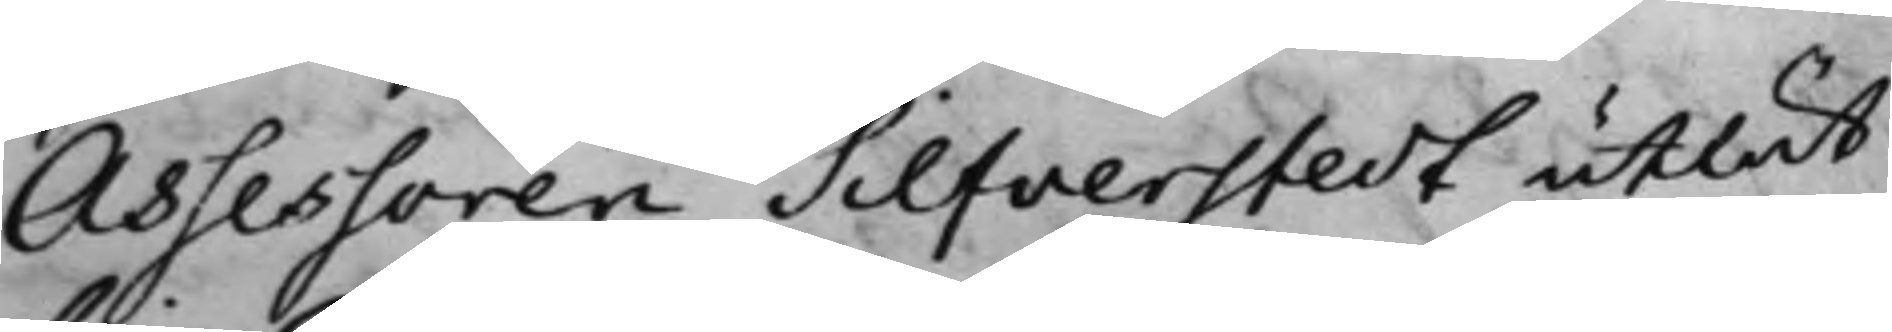Assessoren Silfverstedt utlät,
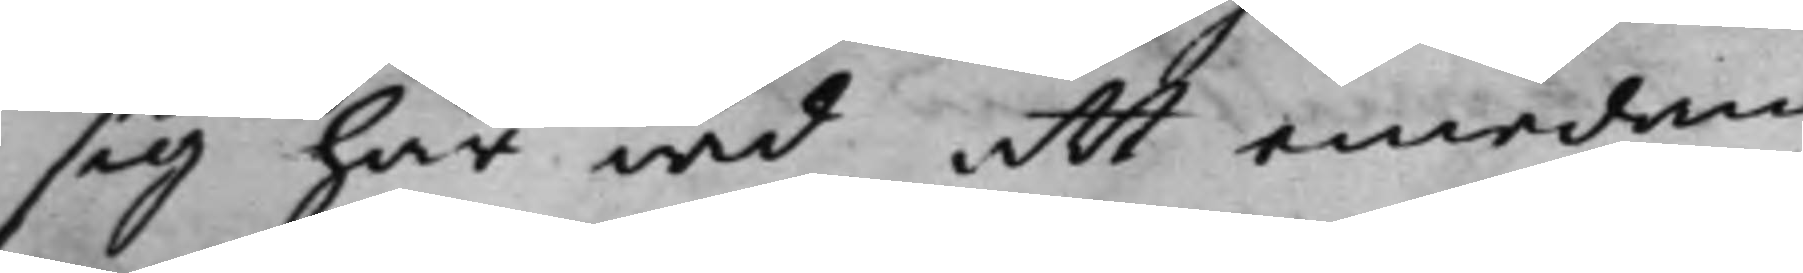sig här wid att emedan
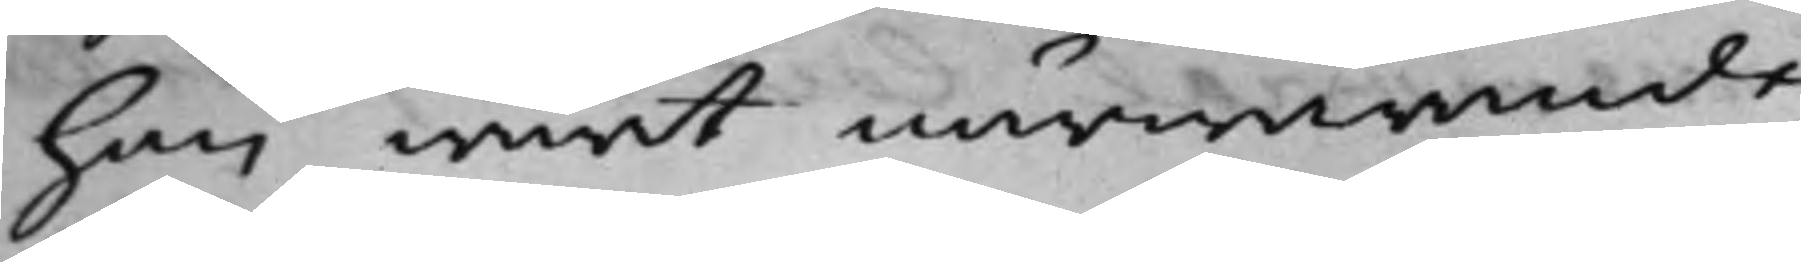han warit närwarande
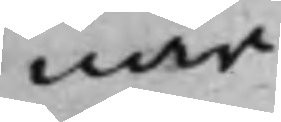när
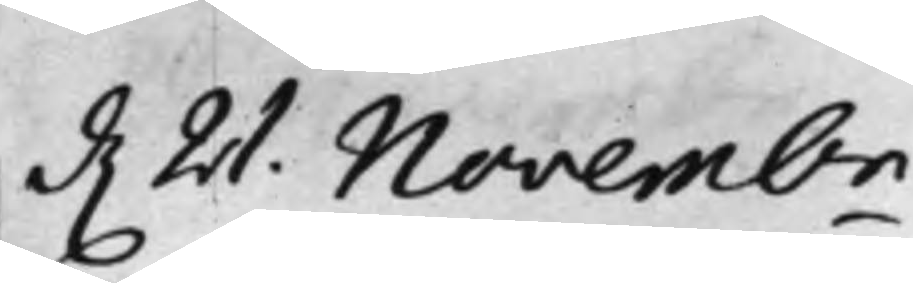d. 21. Novembr
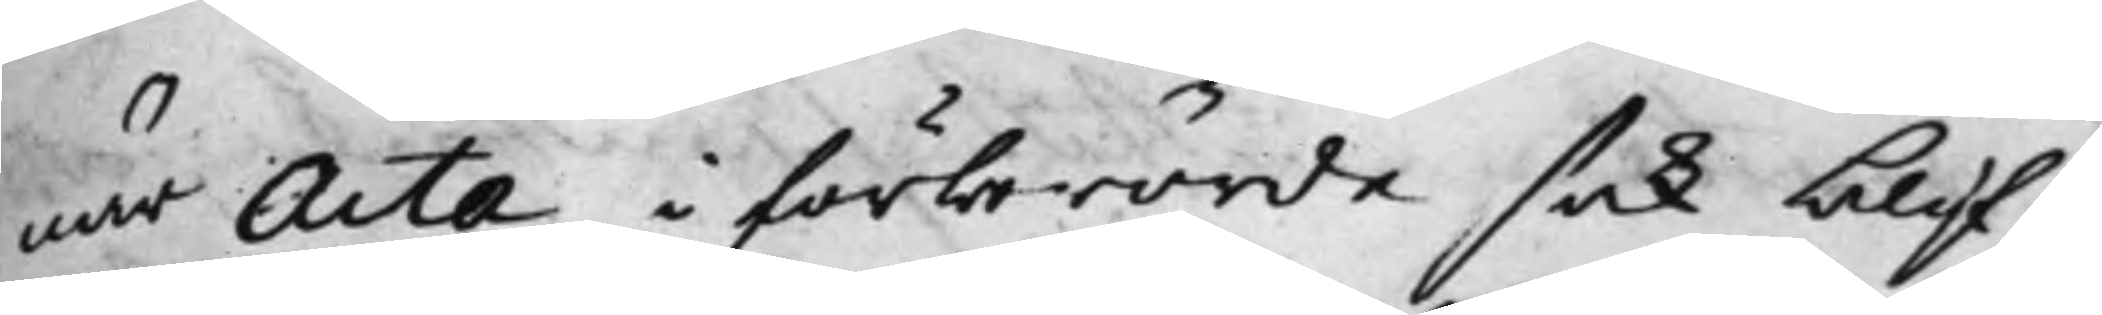när Acta i förberörde sak blif¬
